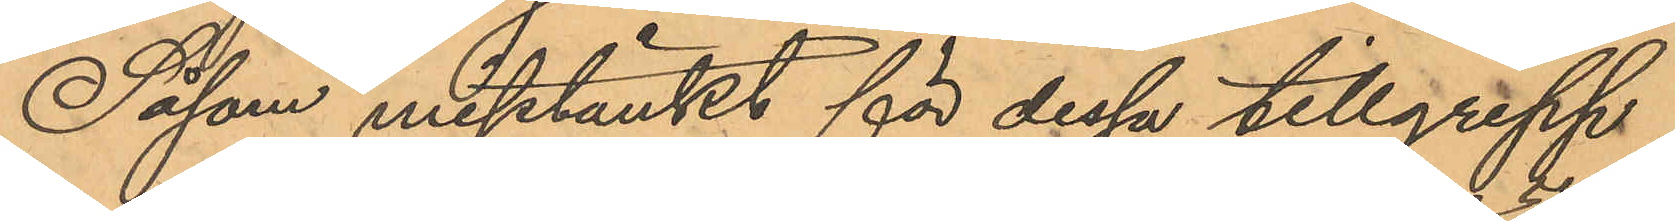Såsom misstänkt för dessa tillgrepp
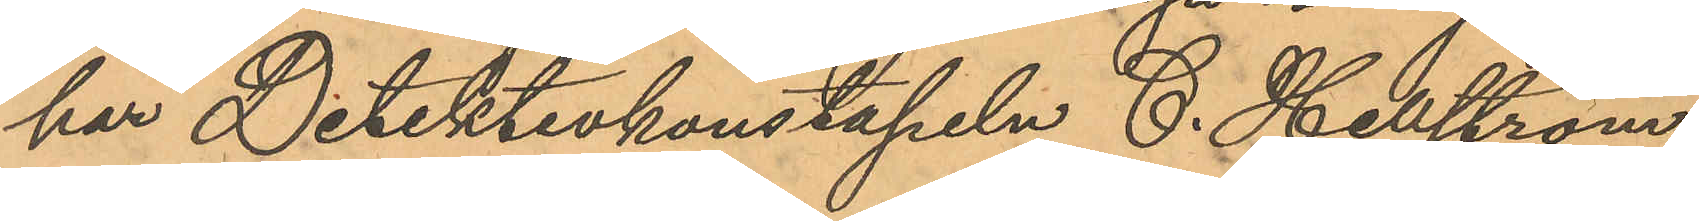har Detektivkonstapeln C. Hellström
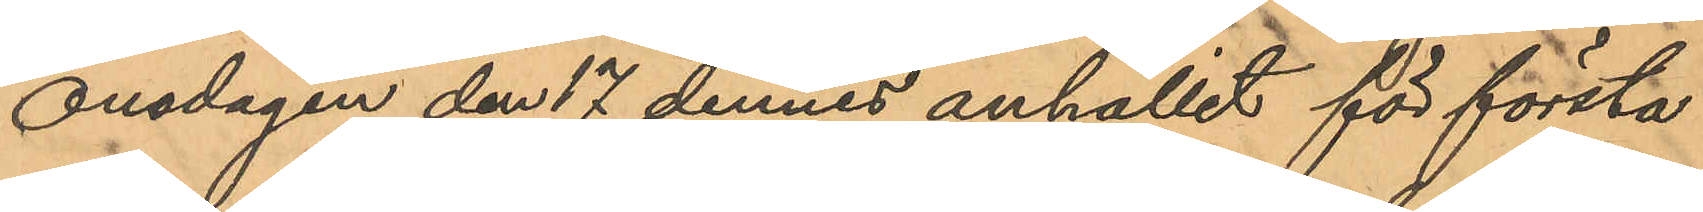Onsdagen den 17 dennes anhållit för första
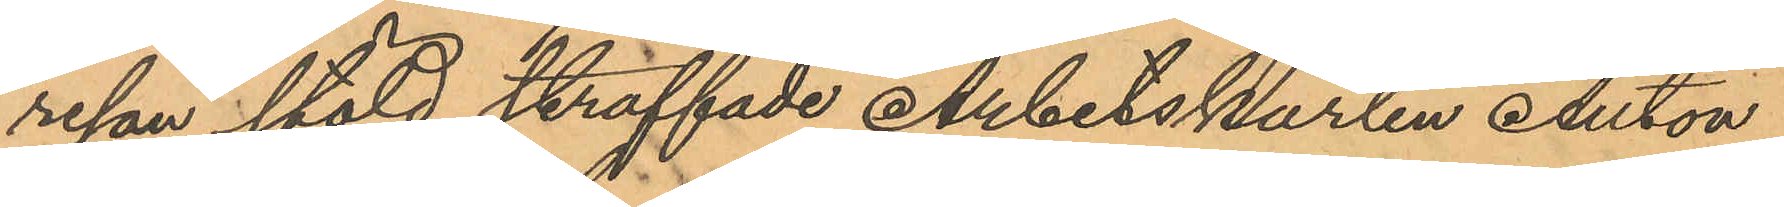resan stöld straffade Arbetskarlen Anton
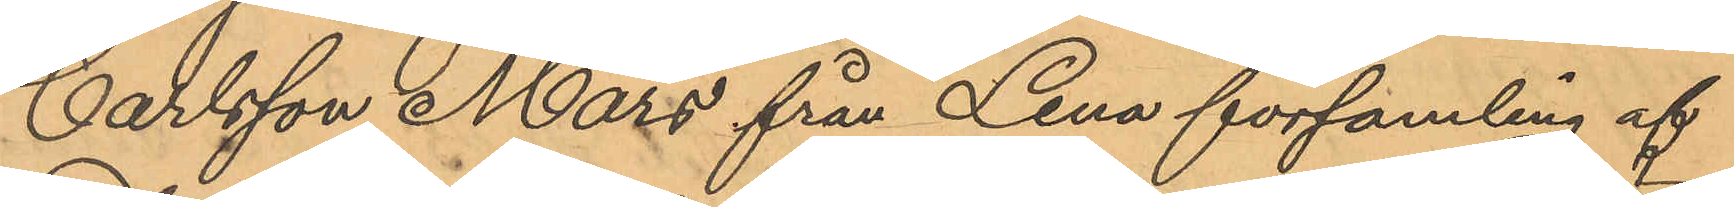Carlsson Mars från Lena församling af
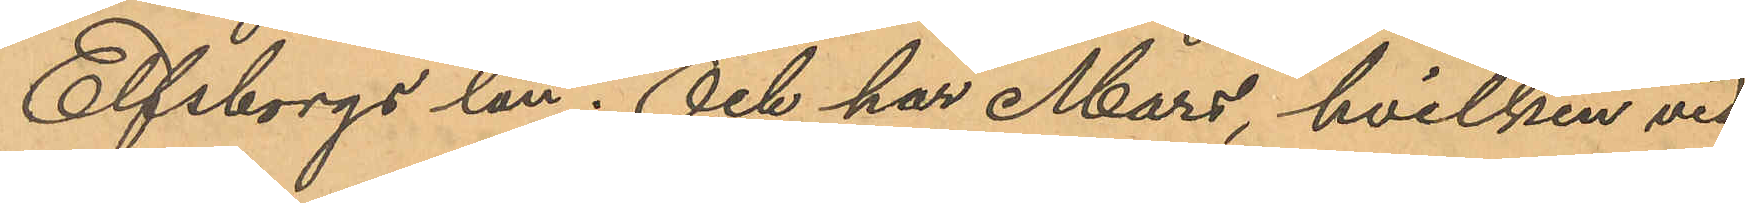Elfsborgs län; Och har Mars, hvilken vid
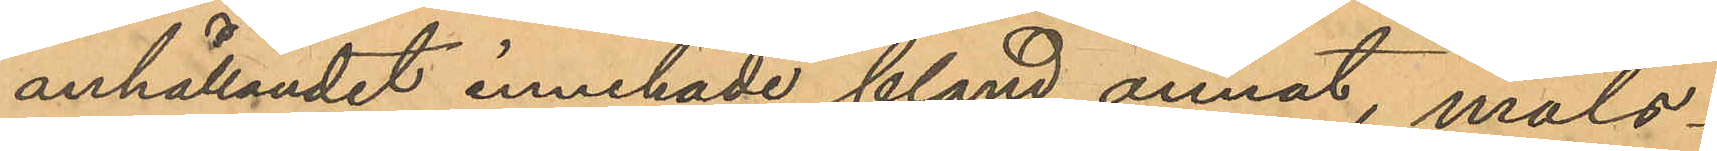anhållandet innehade, bland annat, måls¬
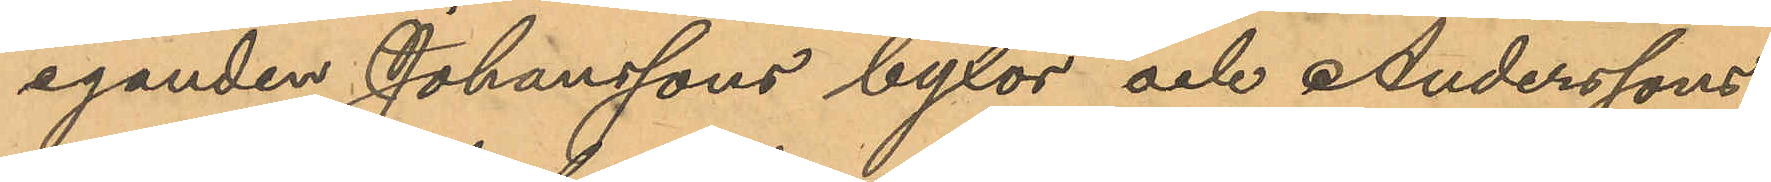eganden Johanssons byxor och Anderssons
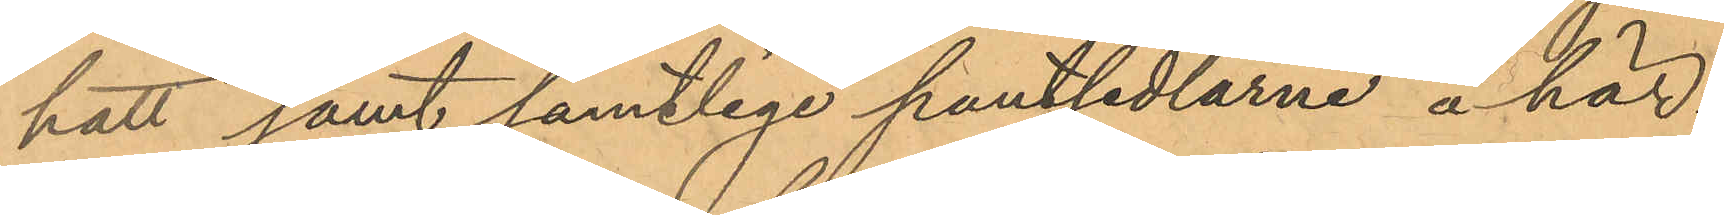hatt samt samtlige pantsedlarne å här¬
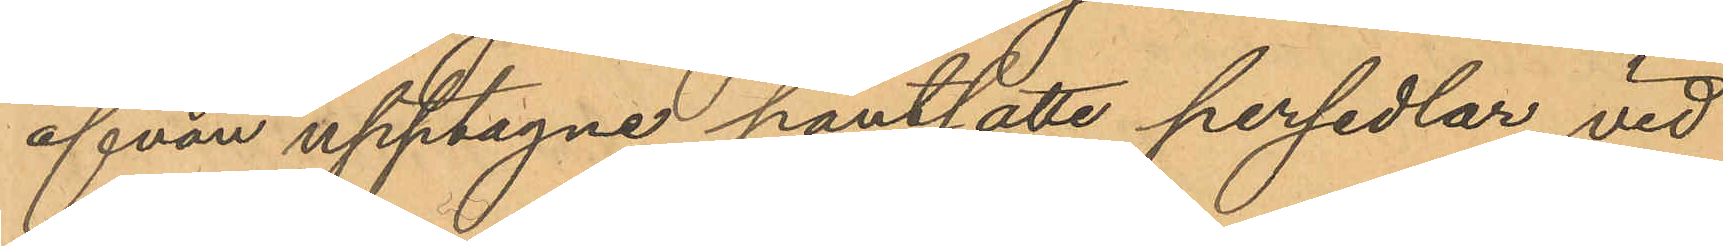ofvan upptagne pantsatte persedlar, vid
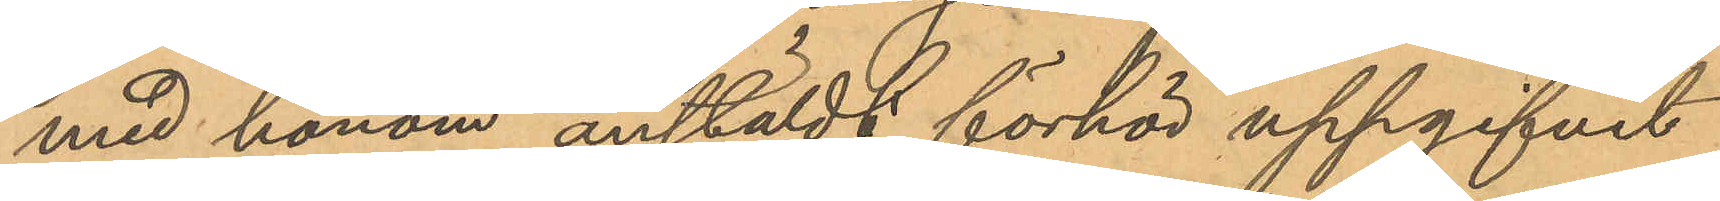med honom anstäldt förhör uppgifvit
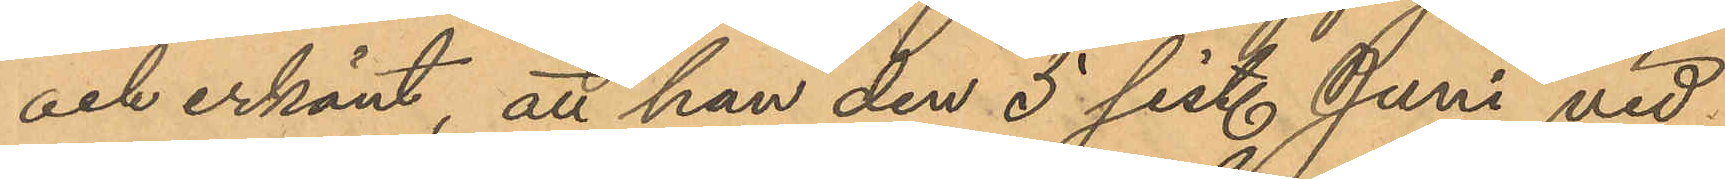och erkänt, att han den 5 sist. Juni vid
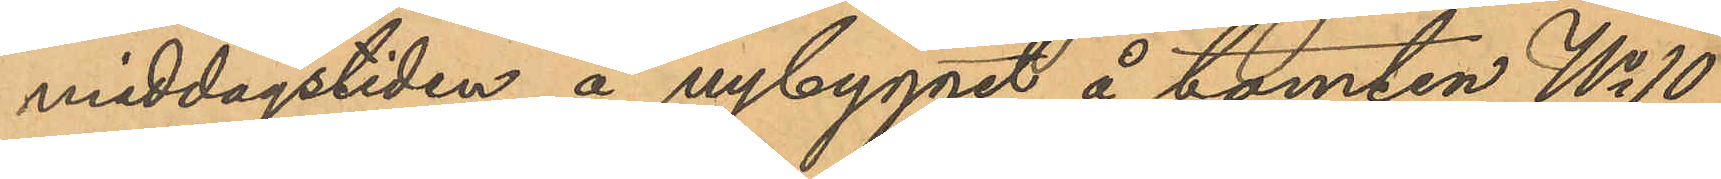middagstiden å nybygget å tomten No 10
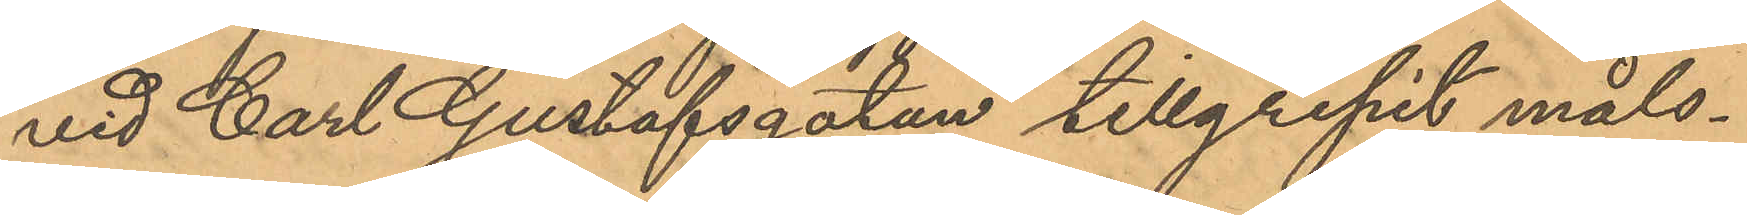vid Carl Gustafsgatan tillgripit måls¬
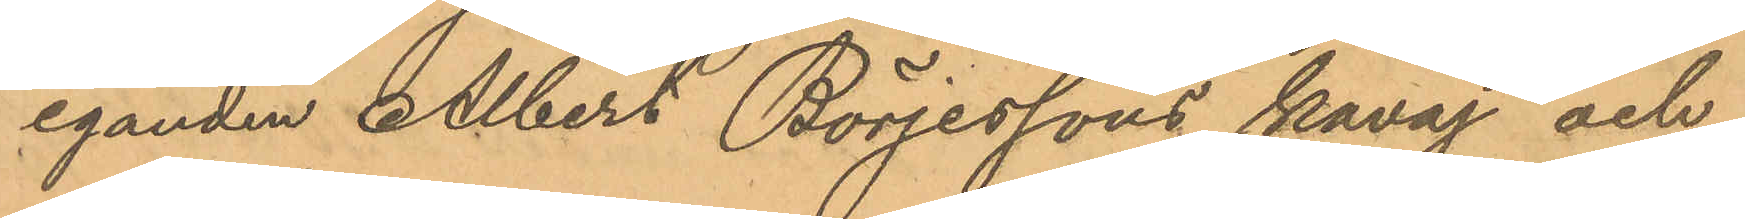eganden Albert Börjessons kavaj och
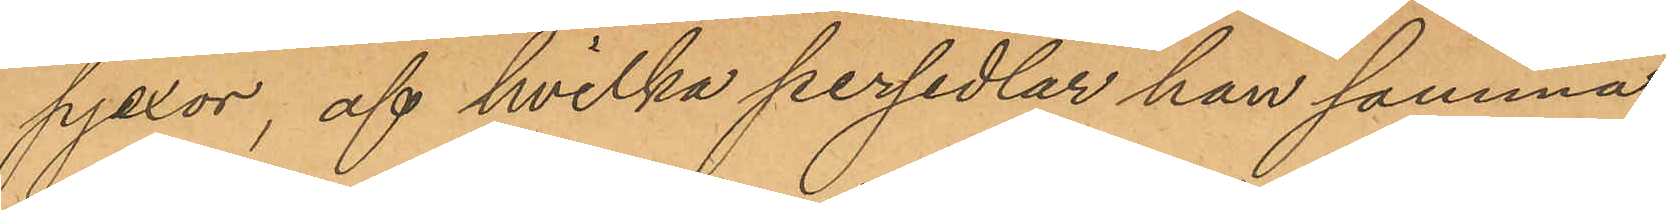pjexor, af hvilka persedlar han samma
